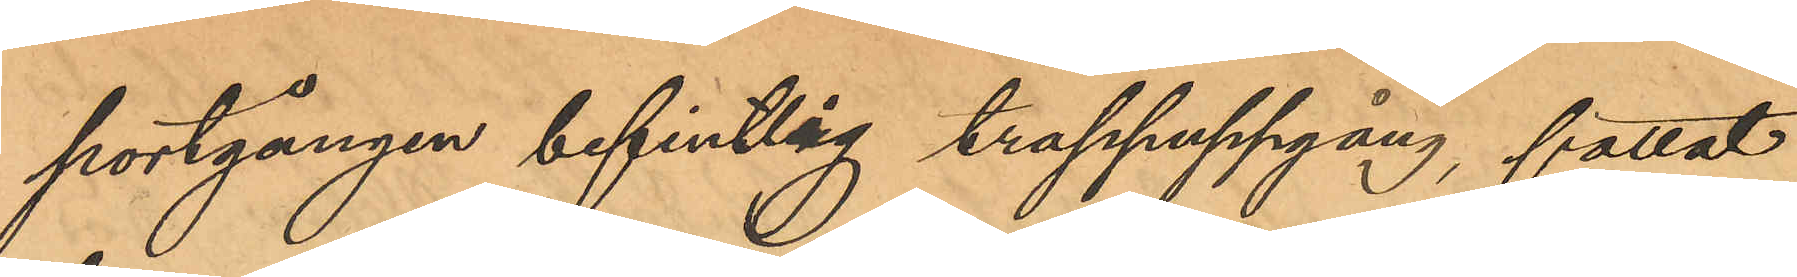portgången befintlig trappuppgång, fattat 
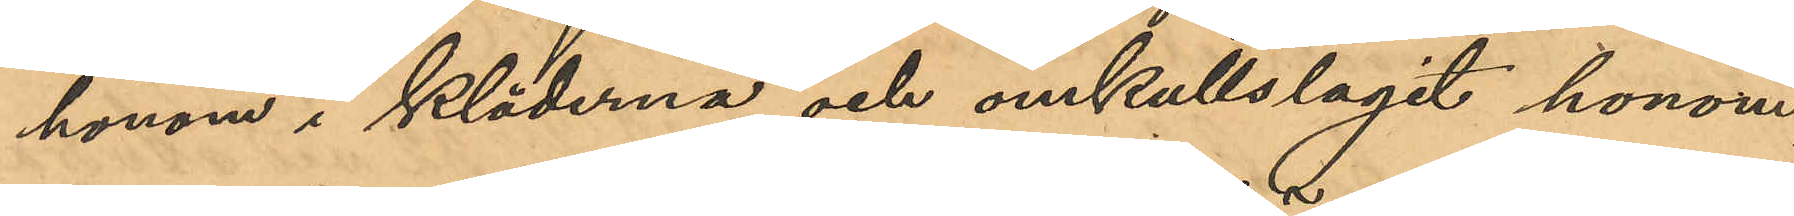honom i kläderna och omkullslagit honom,
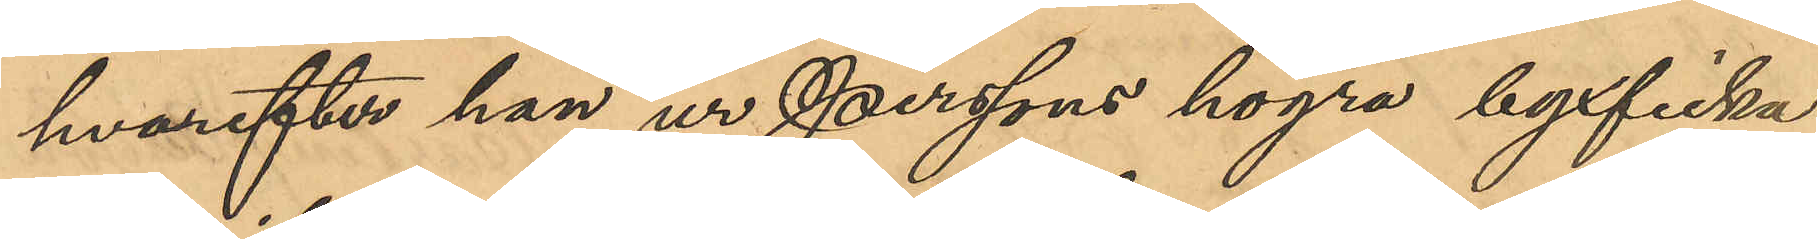hvarefter han ur Perssons högra byxficka
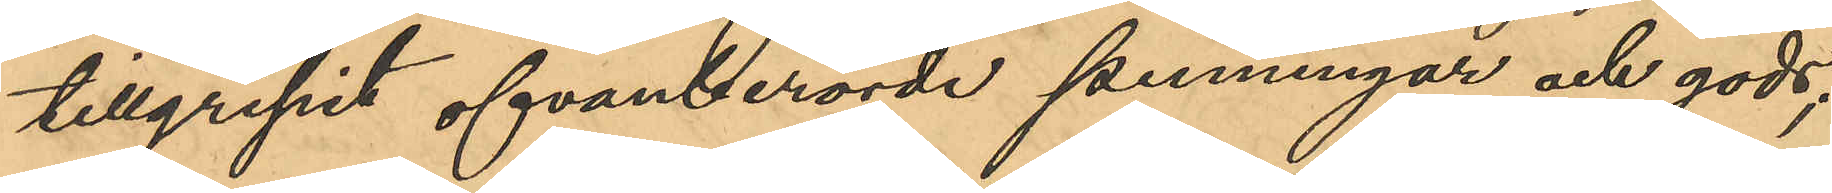tillgripit ofvanberörde penningar och gods;
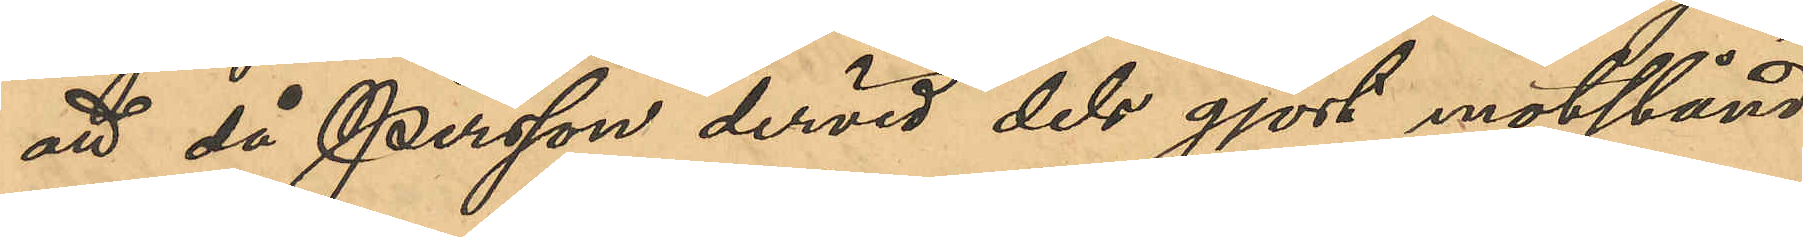att då Persson dervid dels gjort motstånd
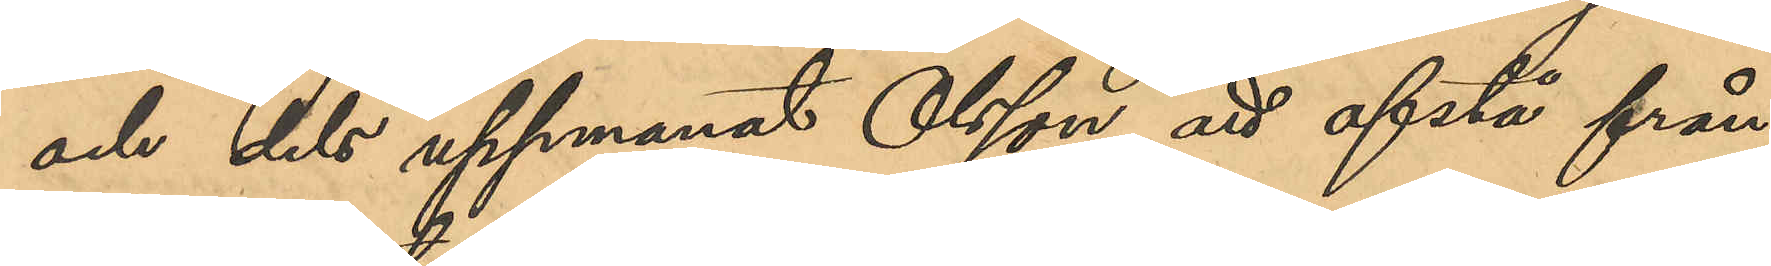och dels uppmanat Olsson att afstå från
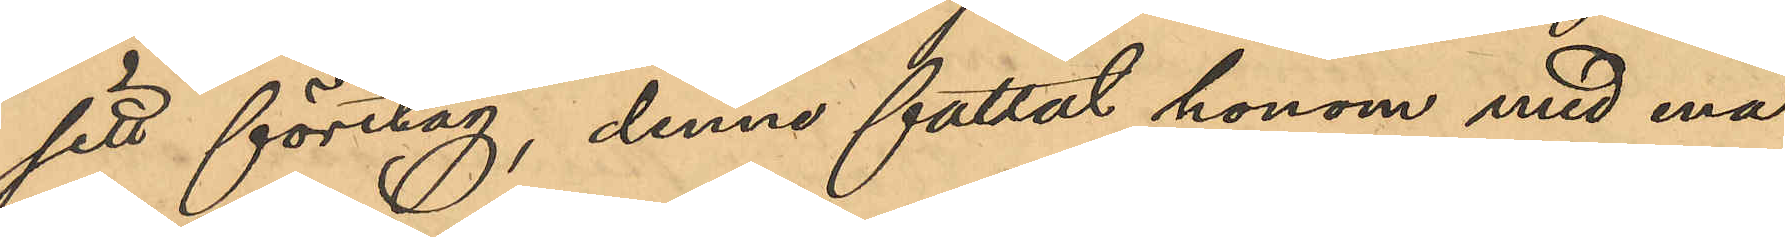sitt företag, denna fattat honom med ena
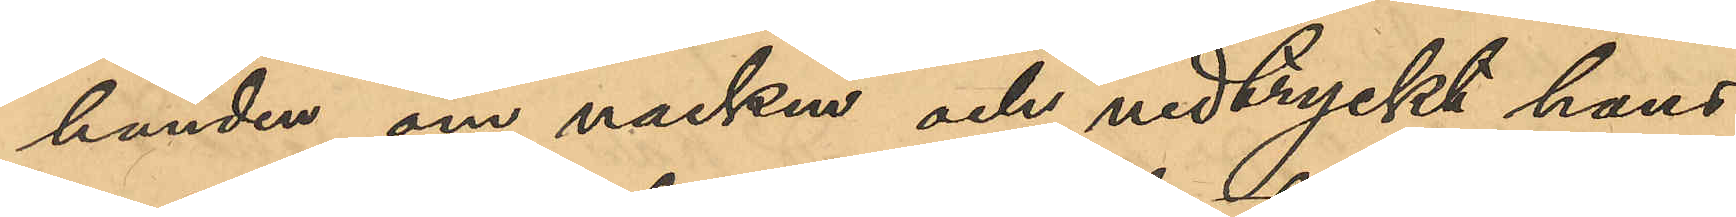handen om nacken och nedtryckt hans
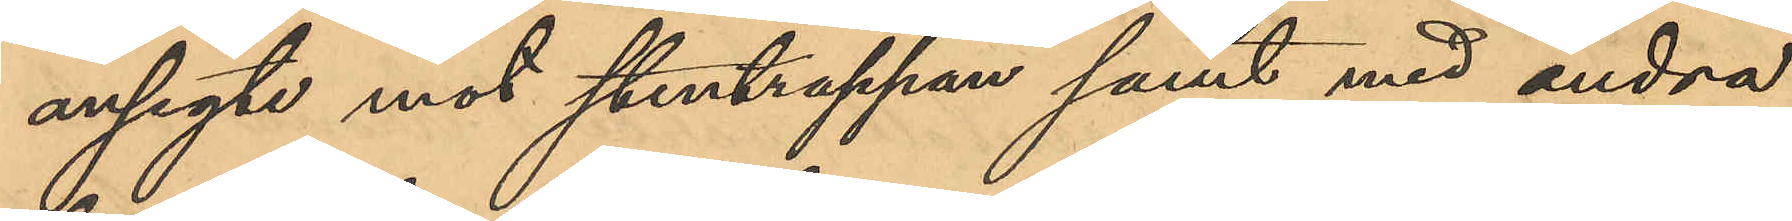ansigte mot stentrappan samt med andra
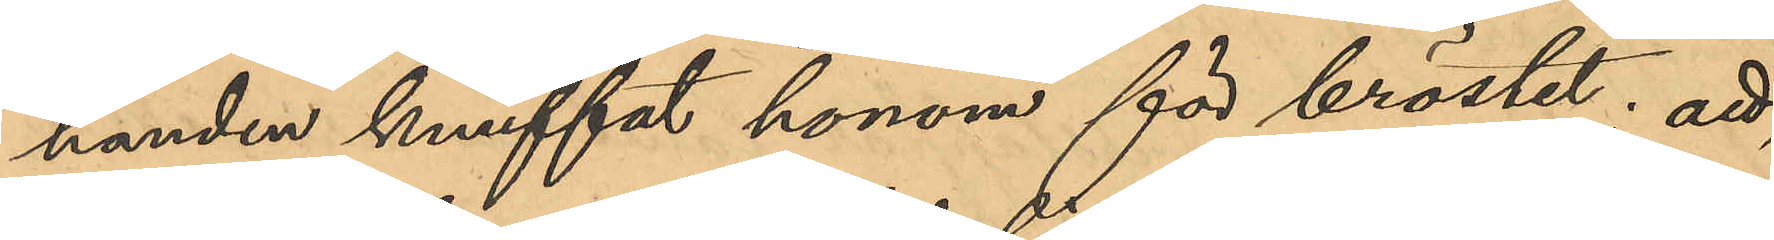handen knuffat honom för bröstet; att
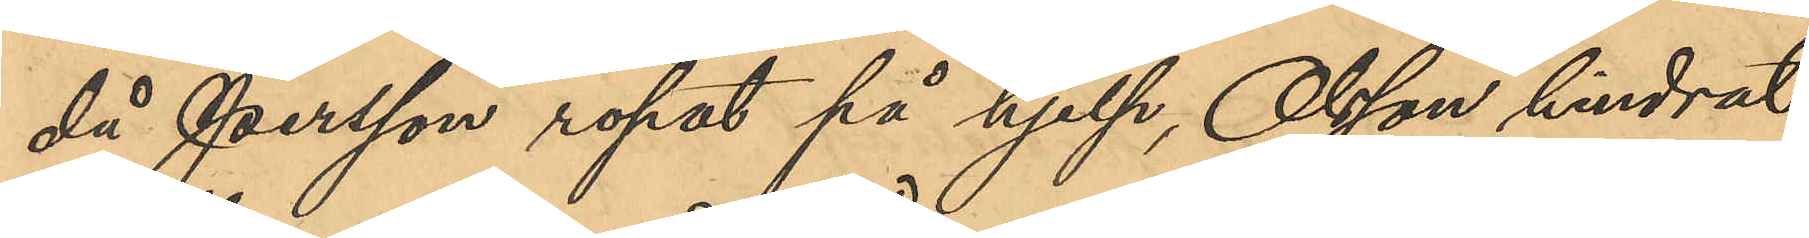då Persson ropat på hjelp, Olsson hindrat
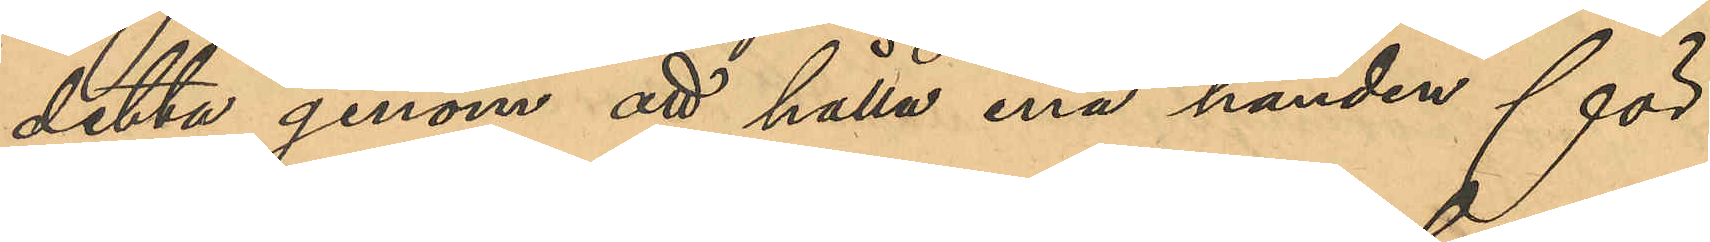detta genom att hålla ena handen för
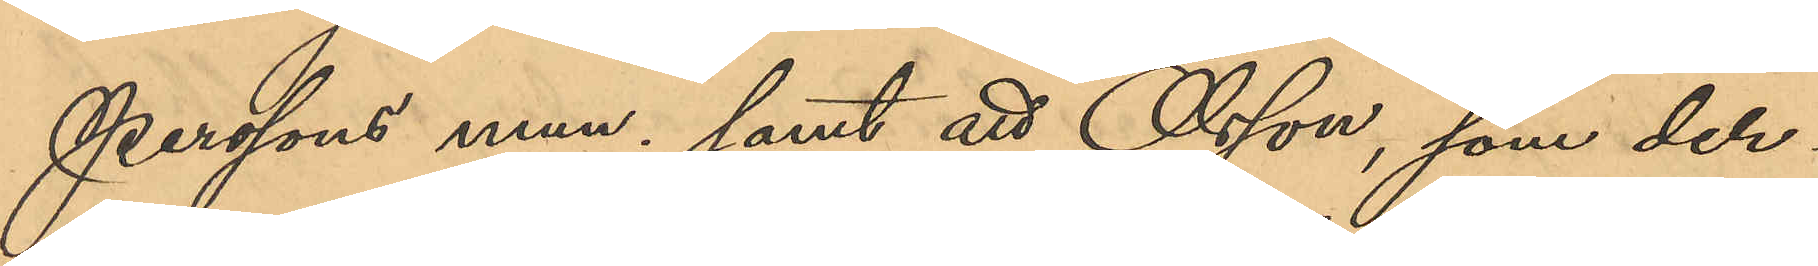Perssons mun; samt att Olsson, som der¬
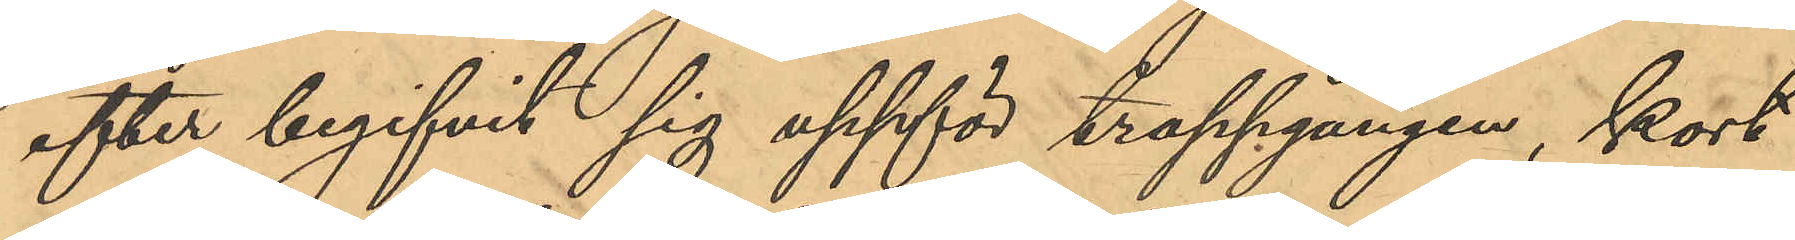efter begifvit sig uppför trappgången, kort
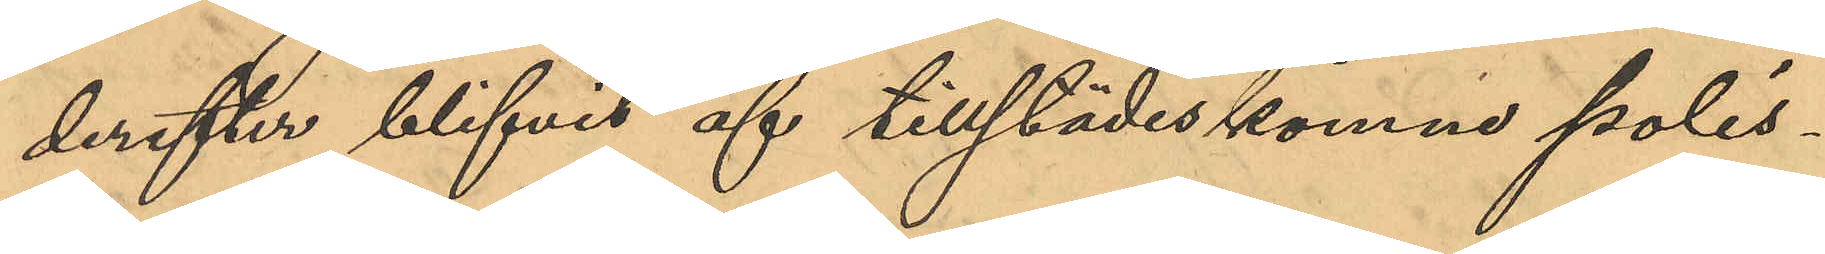derefter blifvit af tillstädeskomne polis¬
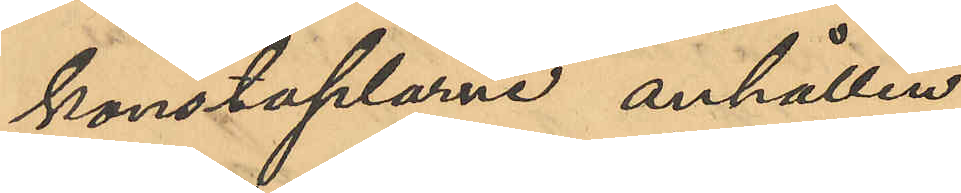konstaplarne anhållen.
